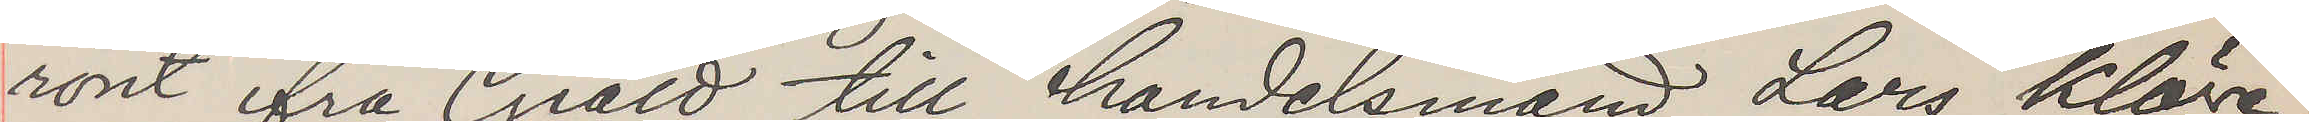rönt fra Giäld till handelsmand Lars Klöve
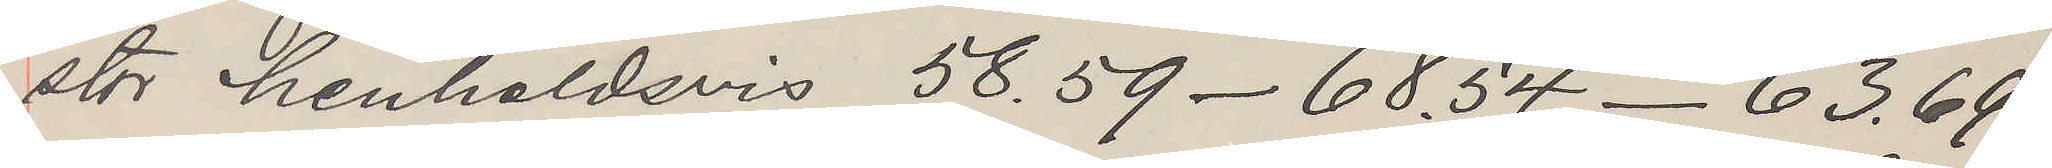stor henholdsvis 58.59 - 68.54 - 63.66 -
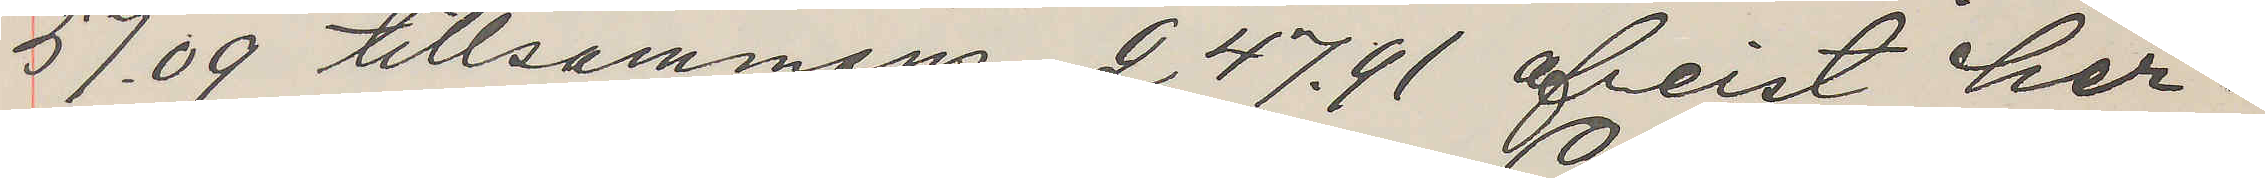57.09 tillsammans 247.91 afreist her¬
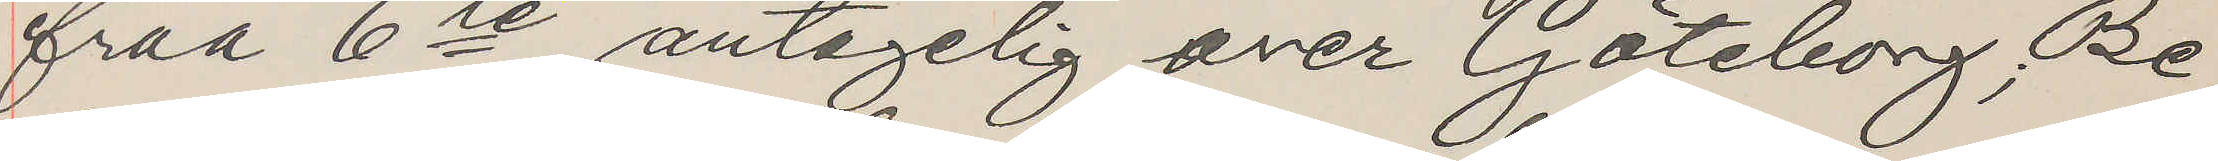fraa 6te antagelig over Göteborg; Be¬
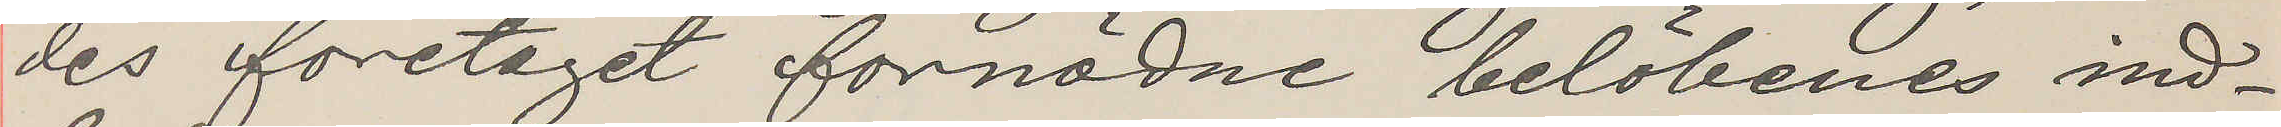des foretaget fornödne belöbenes ind¬
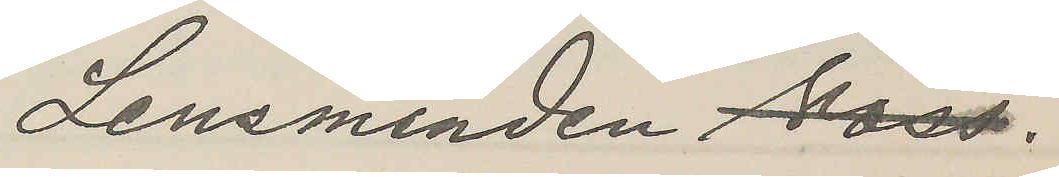Lensmanden Voss.
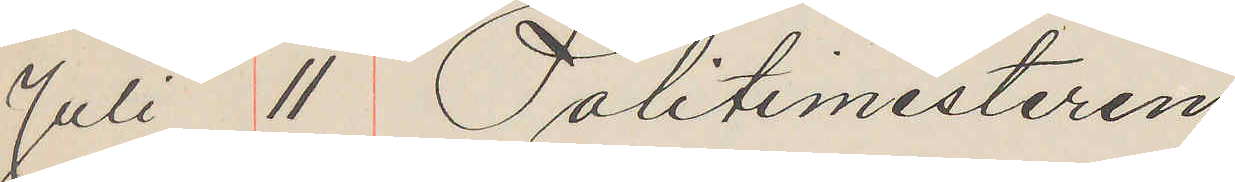Juli 11 Politimesteren
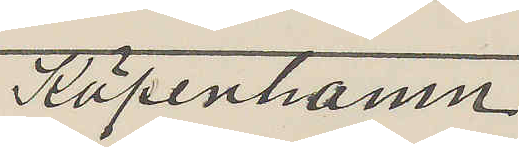Köpenhamn
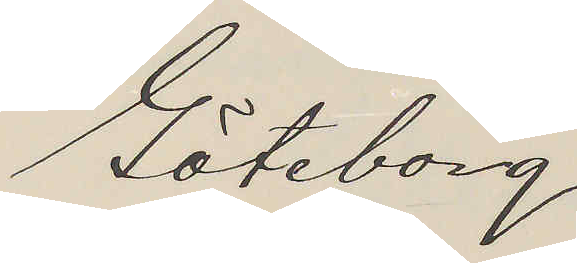Göteborg
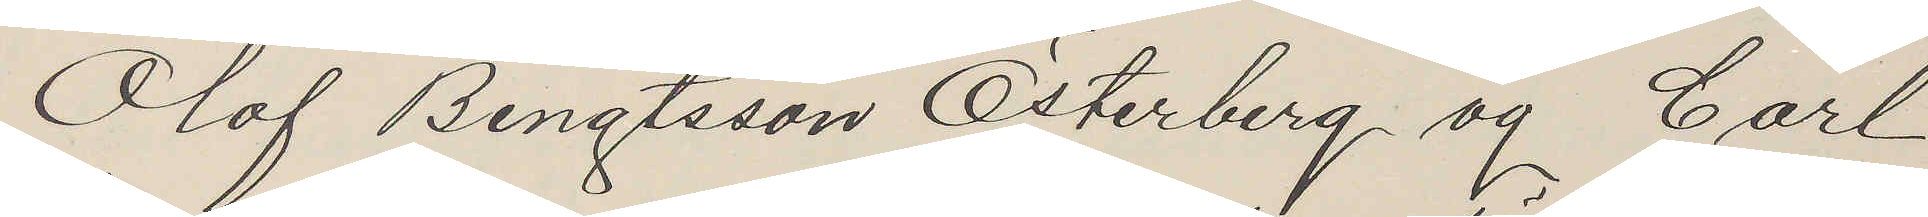Olof Bengtsson Österberg og Carl
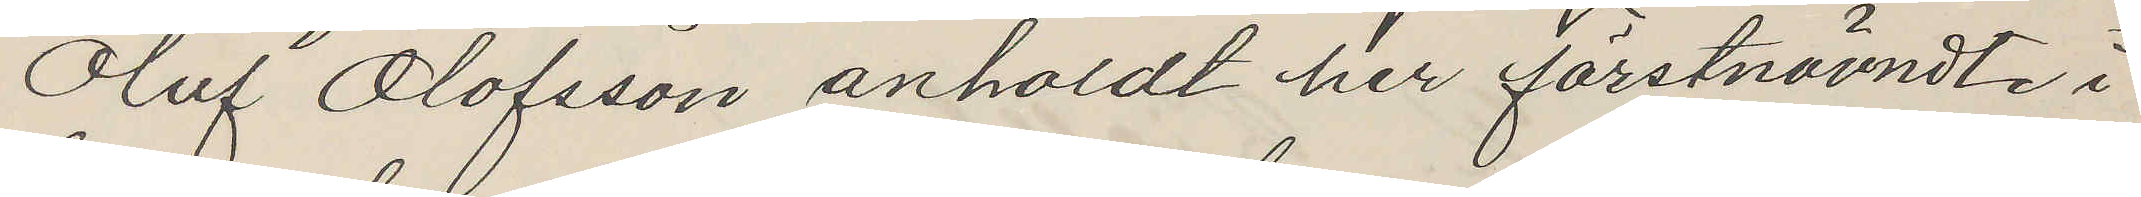Olof Olofsson anholdt her förstnämndte i
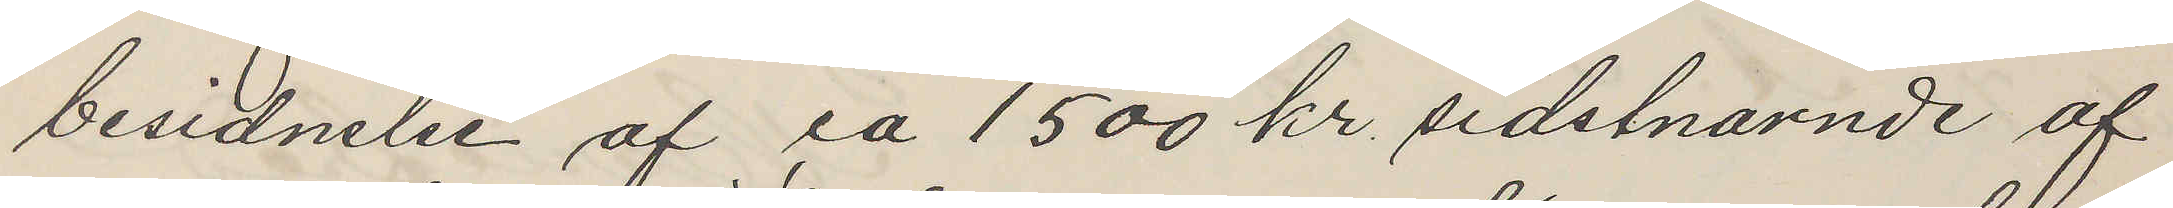besidnelse af ca 1500 kr sidstnarnde af
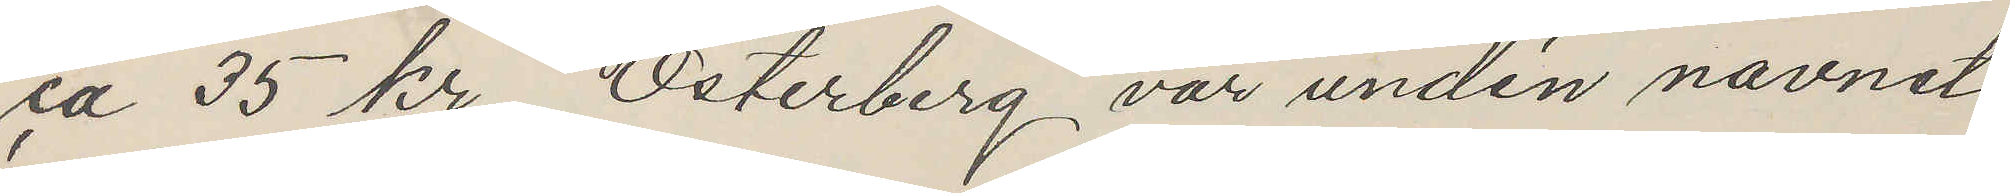ca 35 kr. Österberg var unden navnet
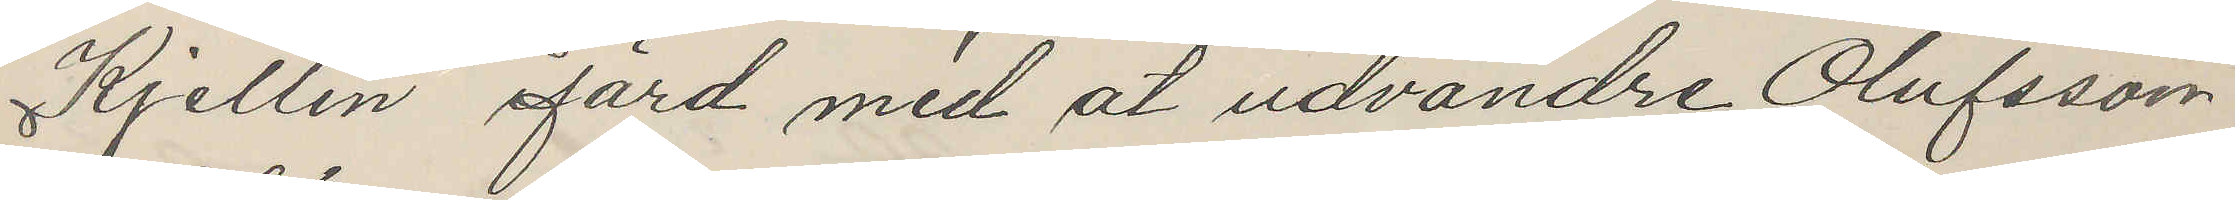Kjellin ifärd med åt udvandre Olufsson
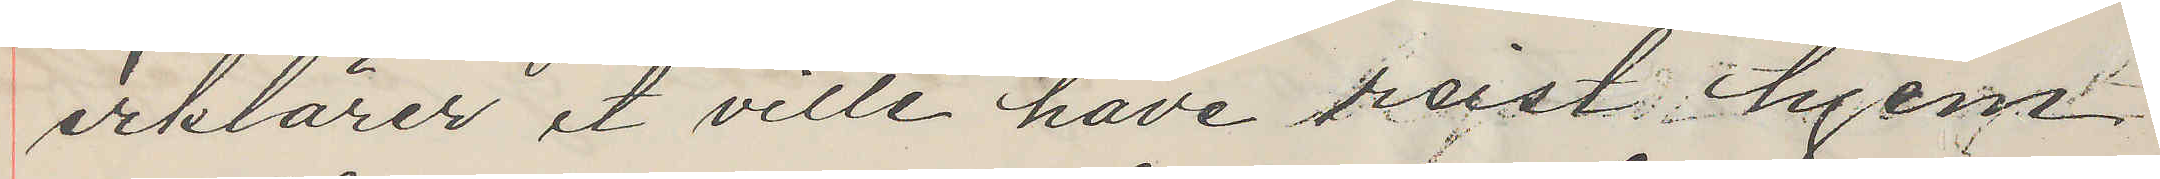erklärer et ville have reist hjem
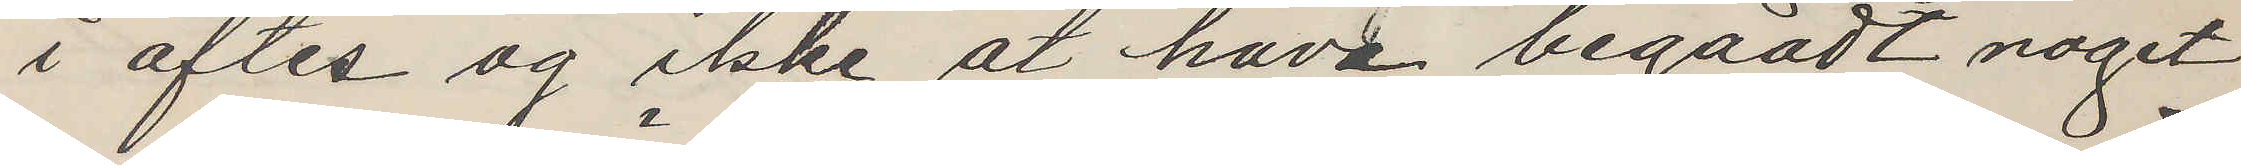i aftes og ikke at have begaadt noget
